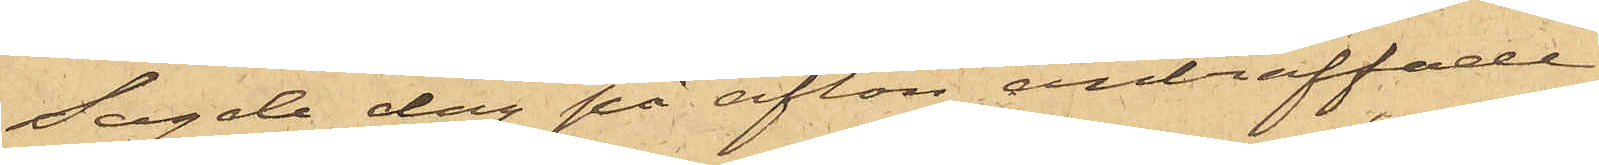Sagde dag på afton anträffade
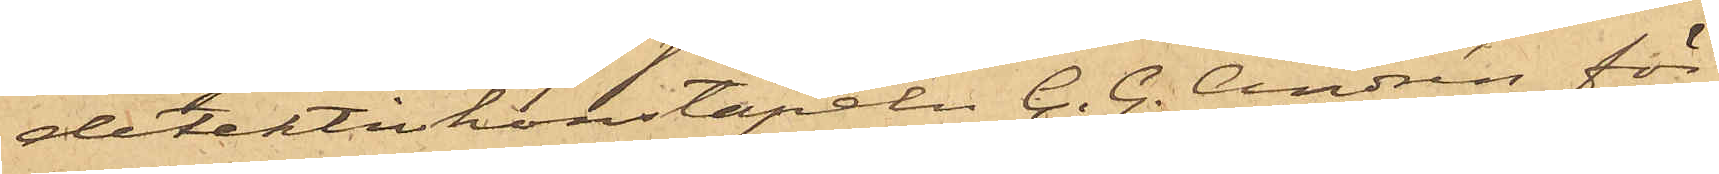detektivkonstapeln C. G. Andrén för
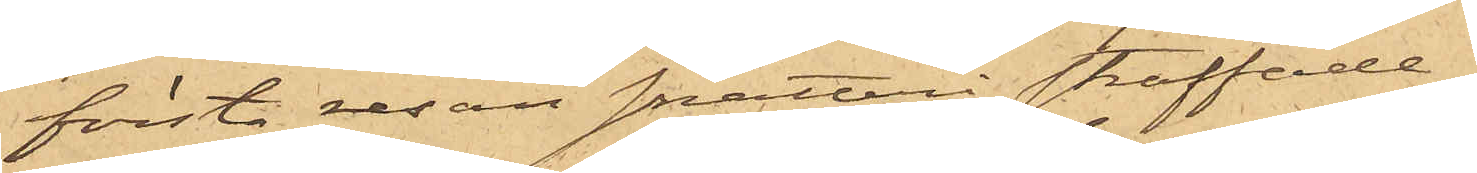första resan snatteri straffade
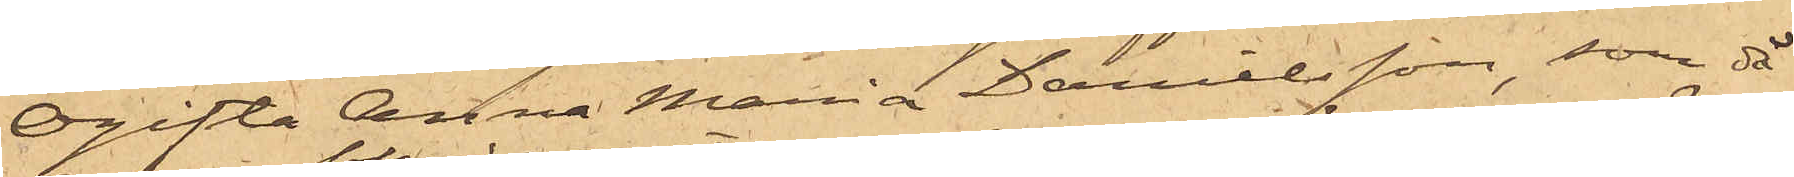Ogifta Anna Mania Danielsson, som då
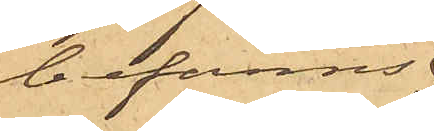befanns
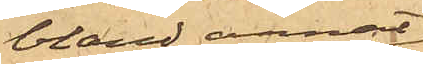bland annat
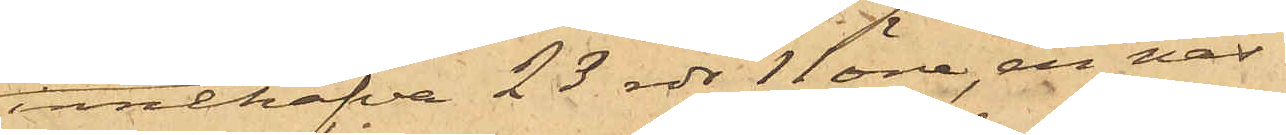innehafva 23 rdr 11 öre, en näs¬
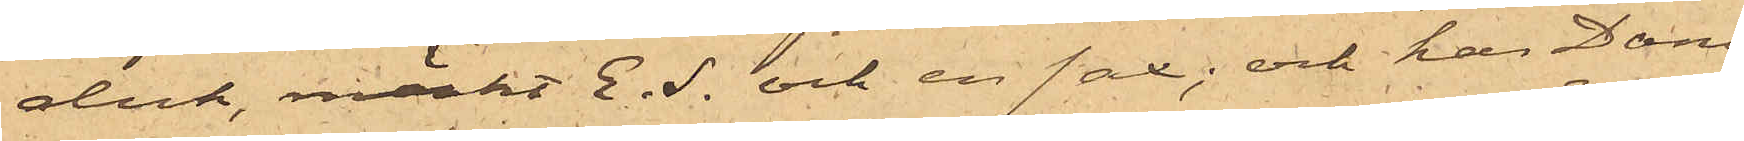duk, märkt E.S. och en sax; och har Dani¬
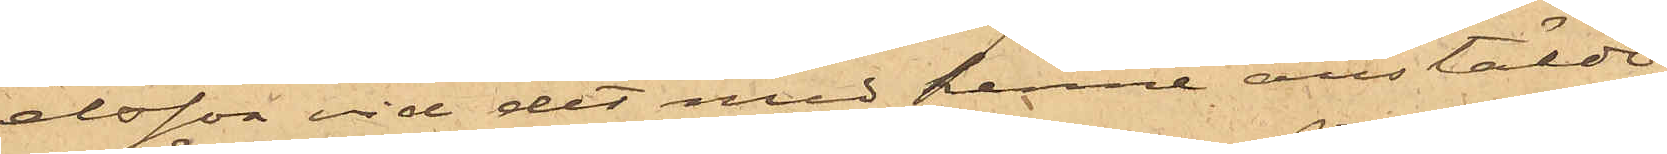elsson vid det med henne anstälde
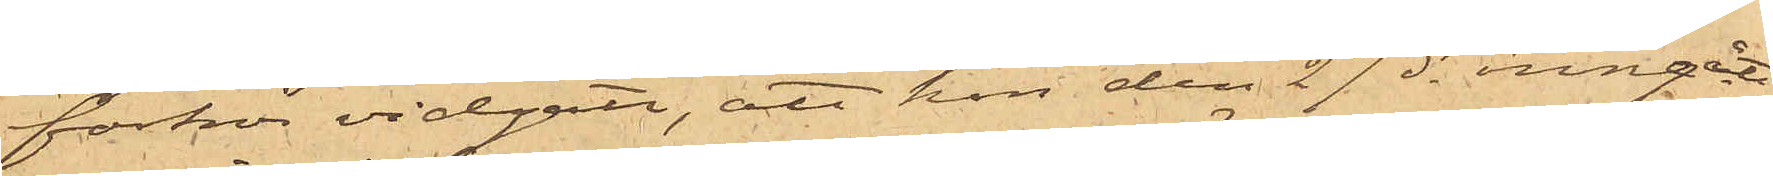förhör vidgått, att hon den 27 ds inngått
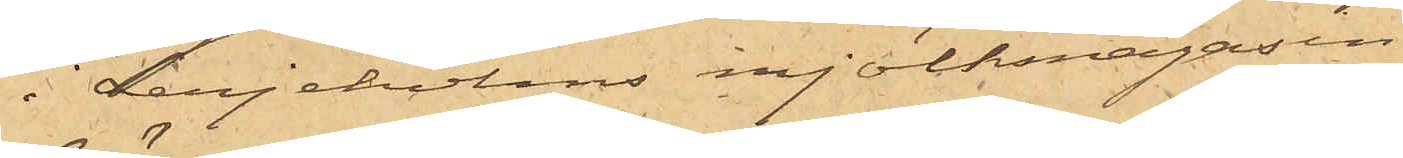i Lerjeholms mjölkmagasin
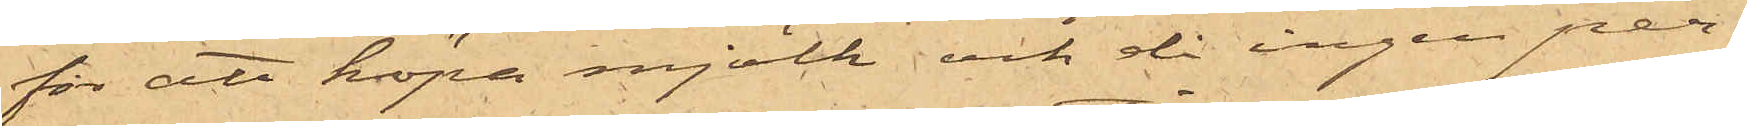för att köpa mjölk och då ingen per¬
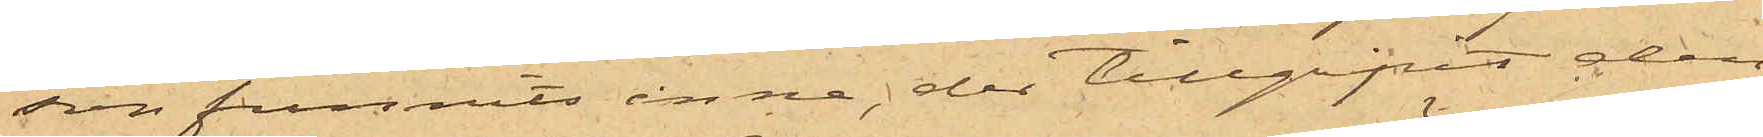son funnits inne, der tillgripit den
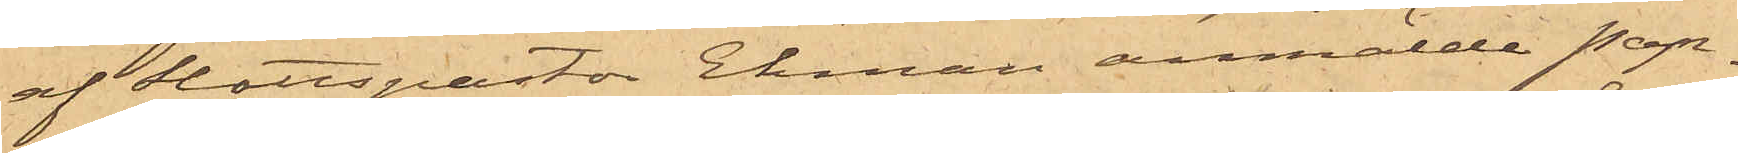af Slottspastor Ekman anmälde pap¬
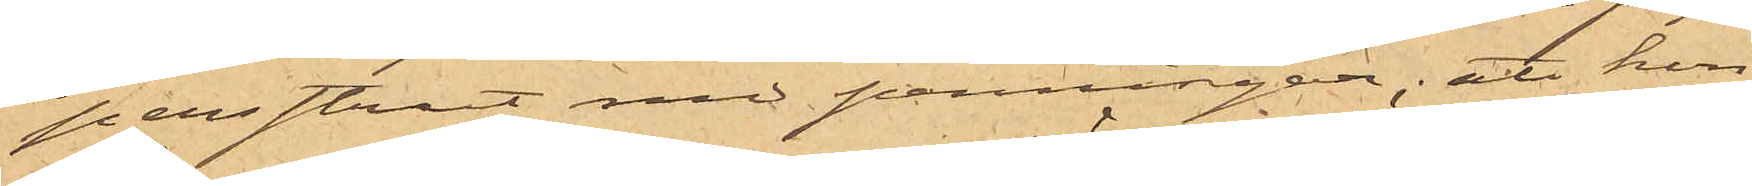persstrut med penningar; att hon
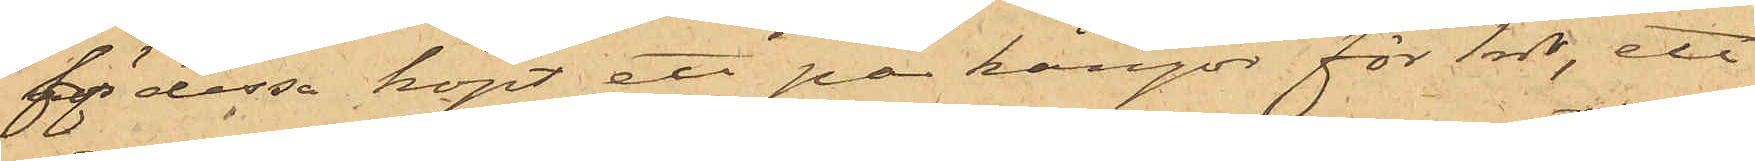för dessa köpt ett par kängor för 1 rdr, ett
